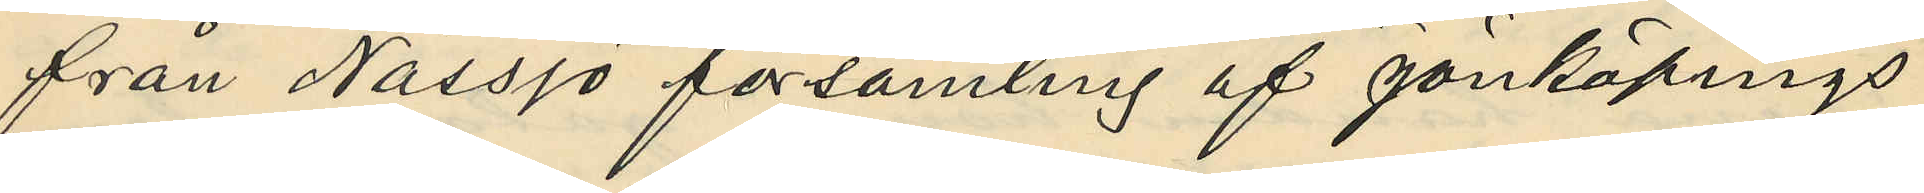från Nässjö församling af Jönköpings
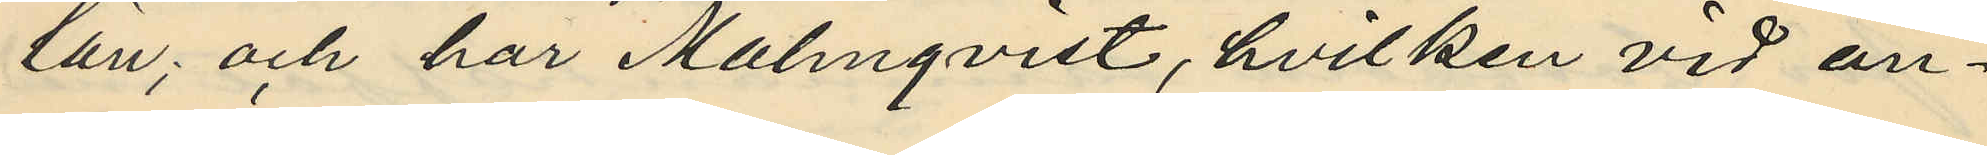län; och har Malmqvist, hvilken vid an¬
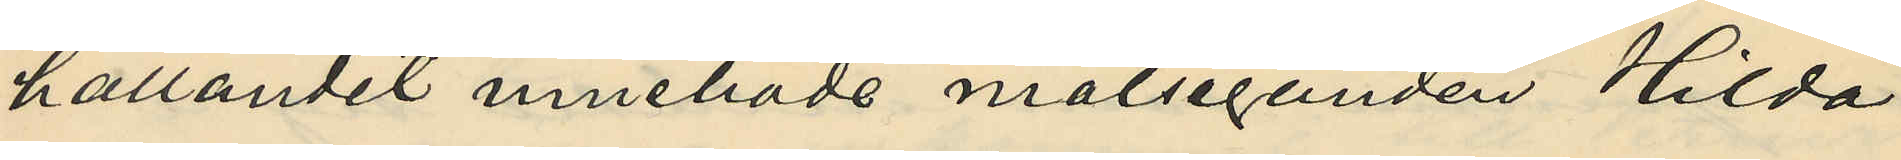hållandet innehade målseganden Hilda
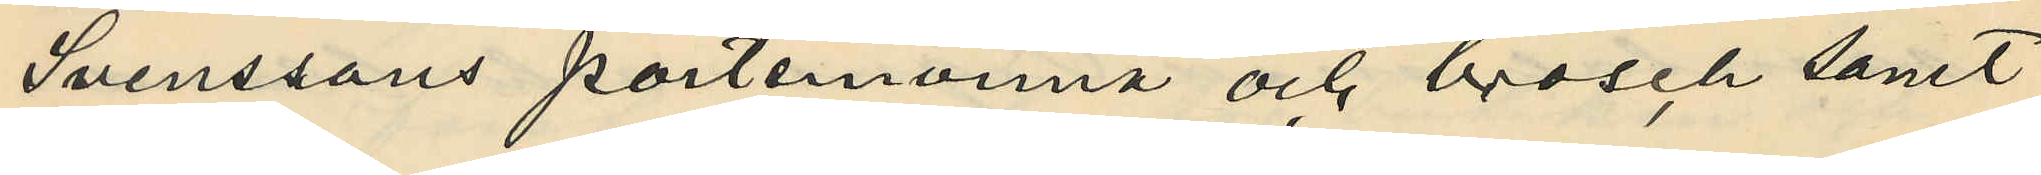Svenssons portemonnä och brosch samt
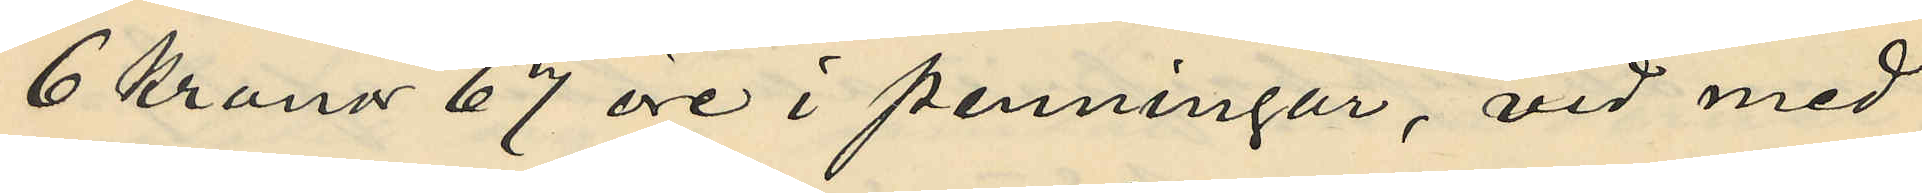6 Kronor 67 öre i penningar, vid med
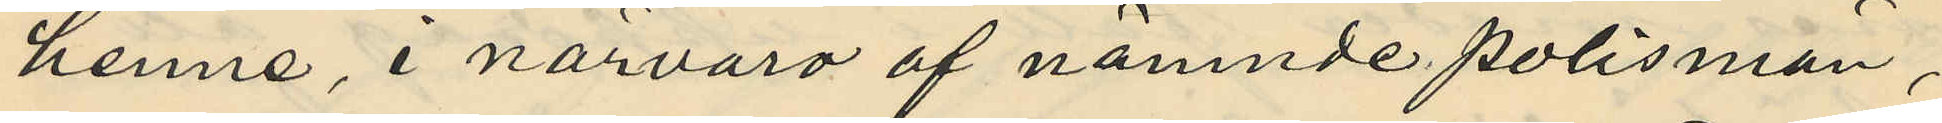henne, i närvaro af nämnde polismän¬
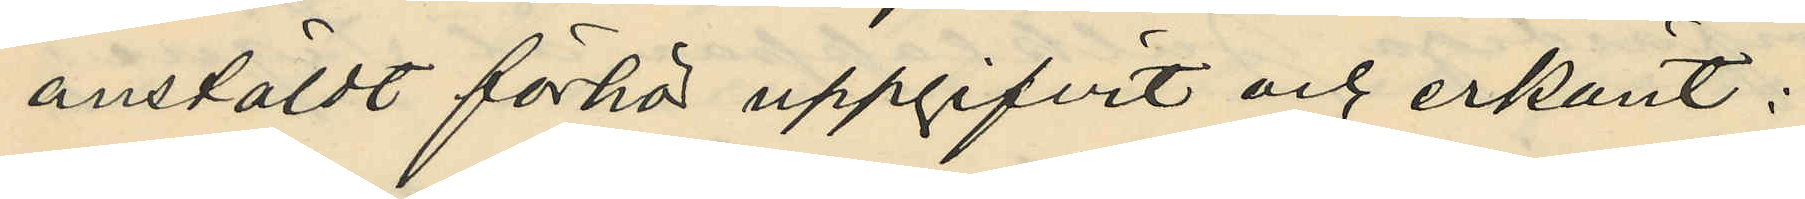anstäldt förhör uppgifvit och erkänt:
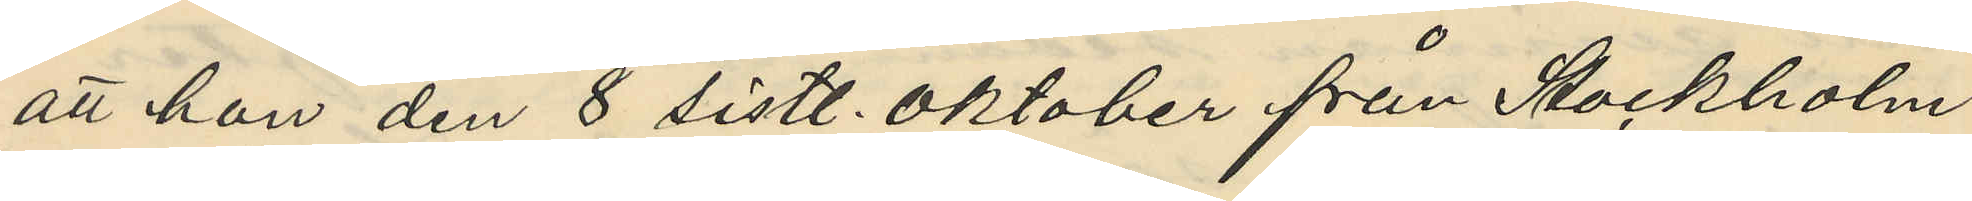att hon den 8 sistl. Oktober från Stockholm
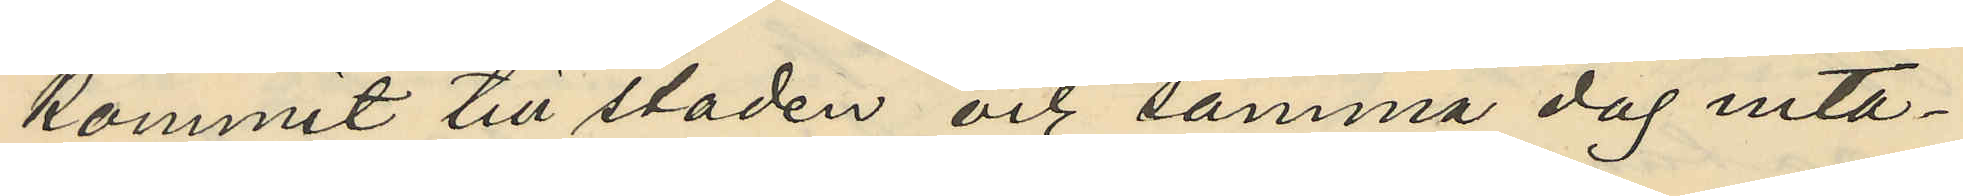kommit till staden och samma dag inta¬
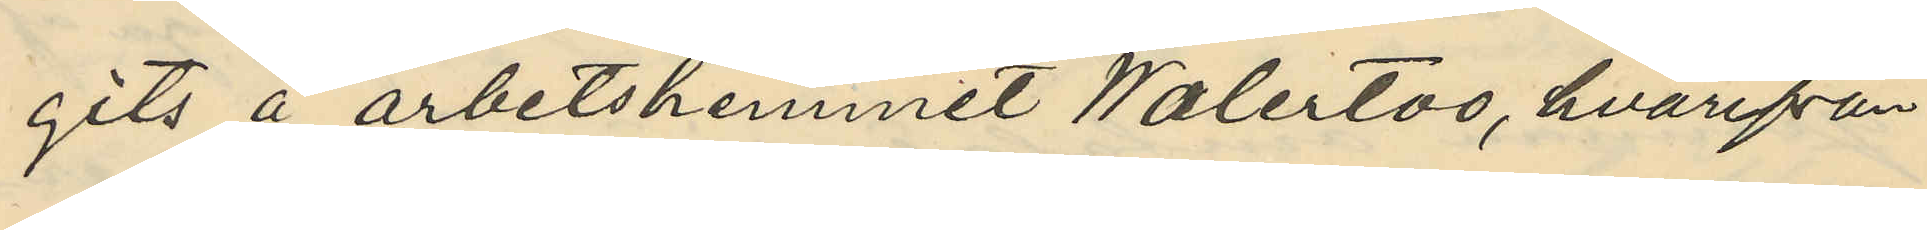gits å arbetshemmet Waterloo, hvarifrån
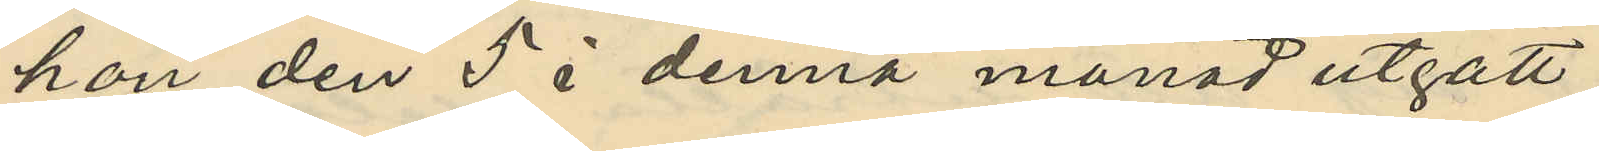hon den 5 i denna månad utgått
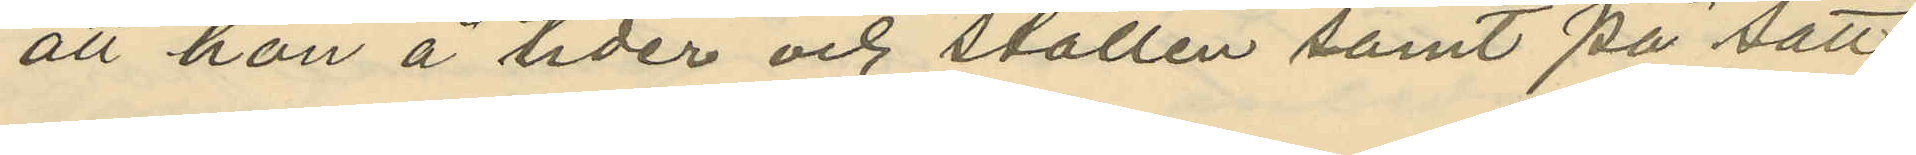att hon å tider och ställen samt på sätt
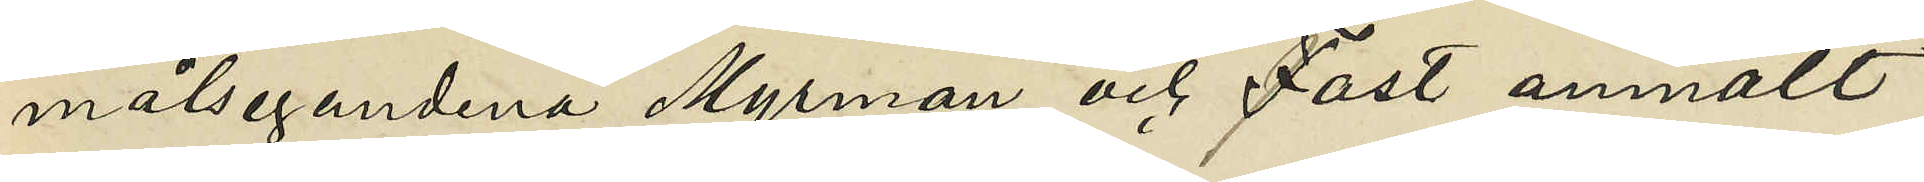målsegandena Myrman och Fast anmält
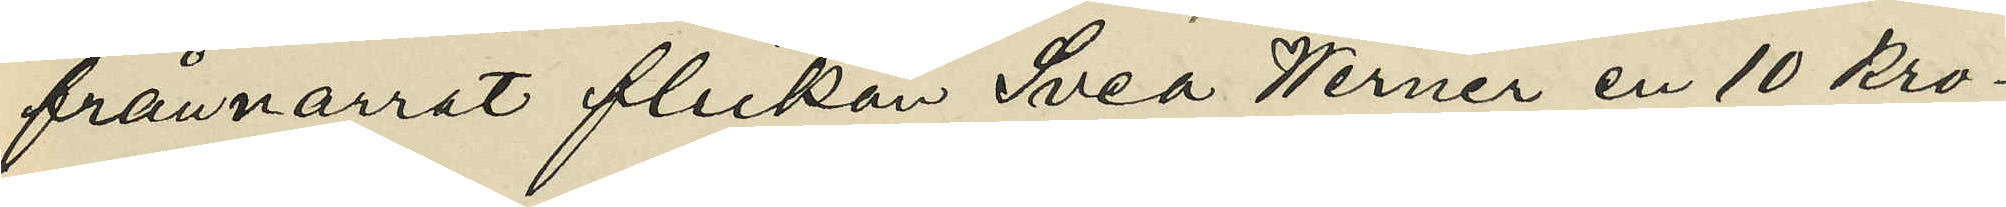frånnarrat flickan Svea Werner en 10 kro¬
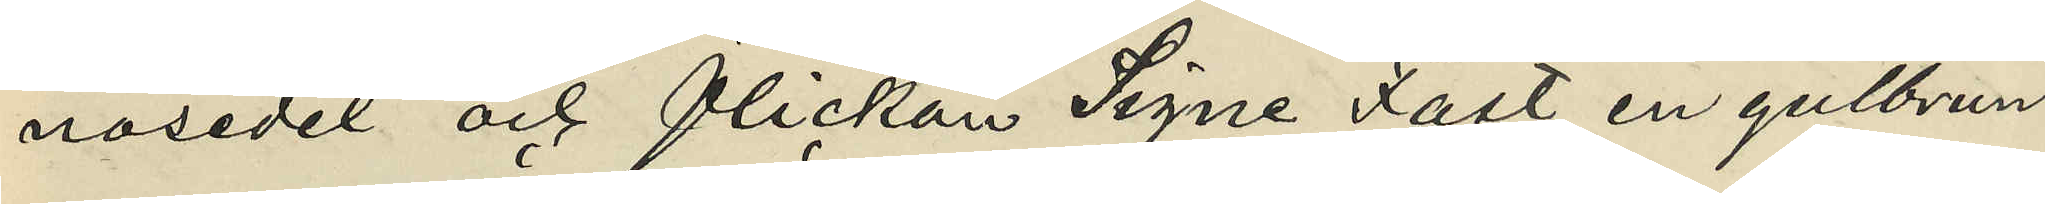nosedel och flickan Signe Fast en gulbrun
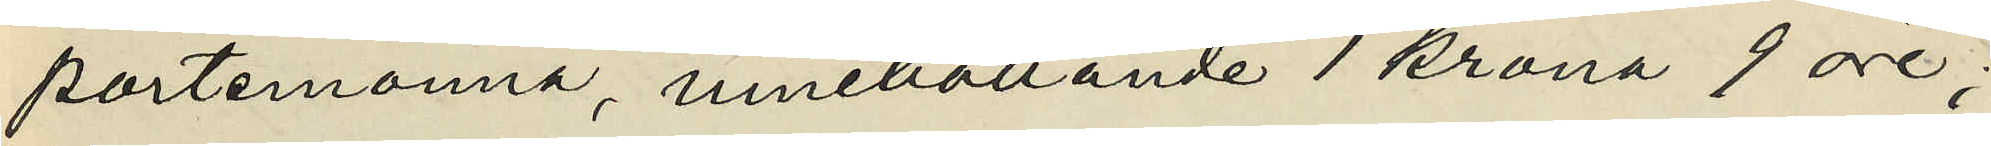portmonnä, innehållande 1 krona 9 öre;
